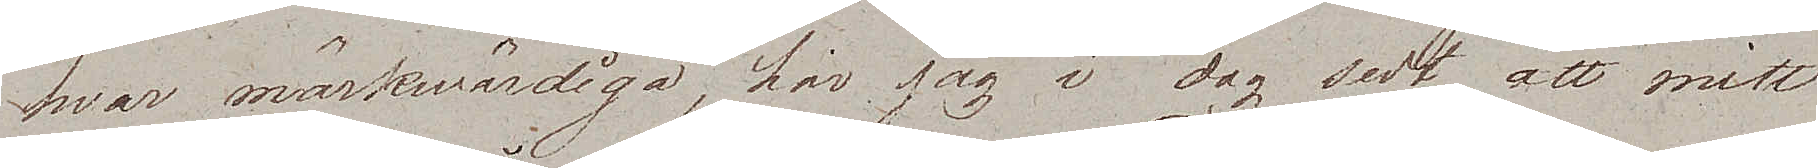hvar märkwärdiga, har jag i dag sedt, att mitt
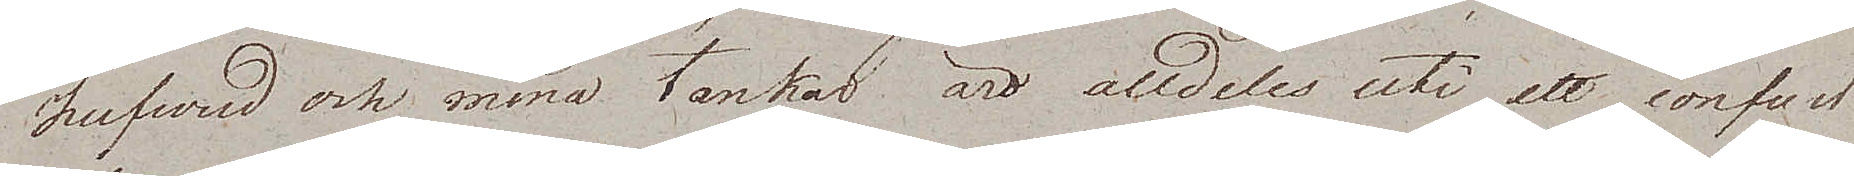hufvud och mina tankat äro alldeles uti ett confust
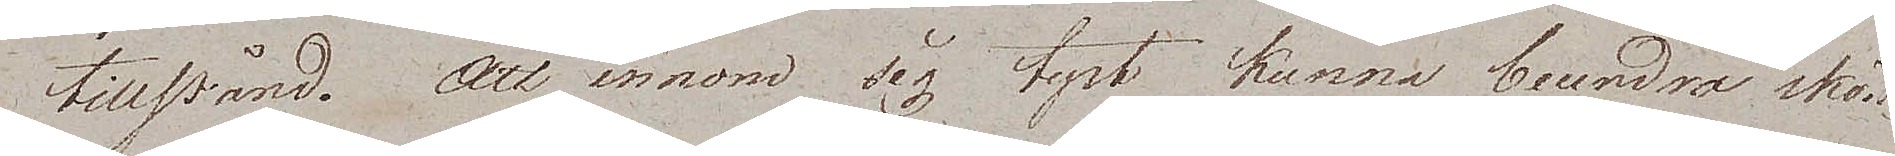tillstånd. Att innom sig tyst kunna beundra skön¬
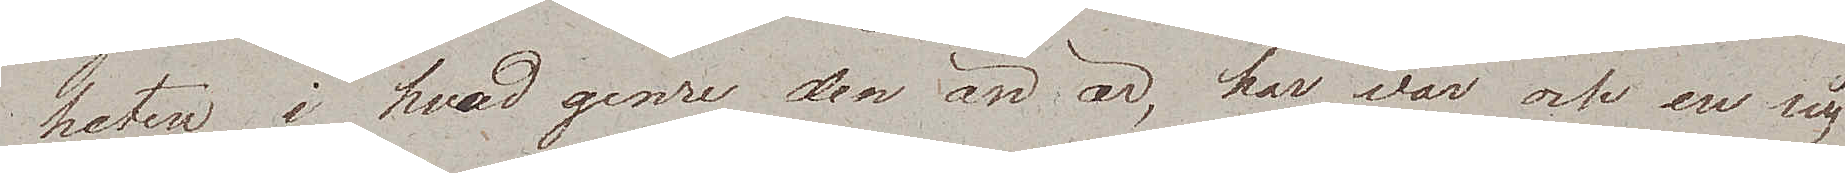heten i hvad genre den än är, har var och en sig
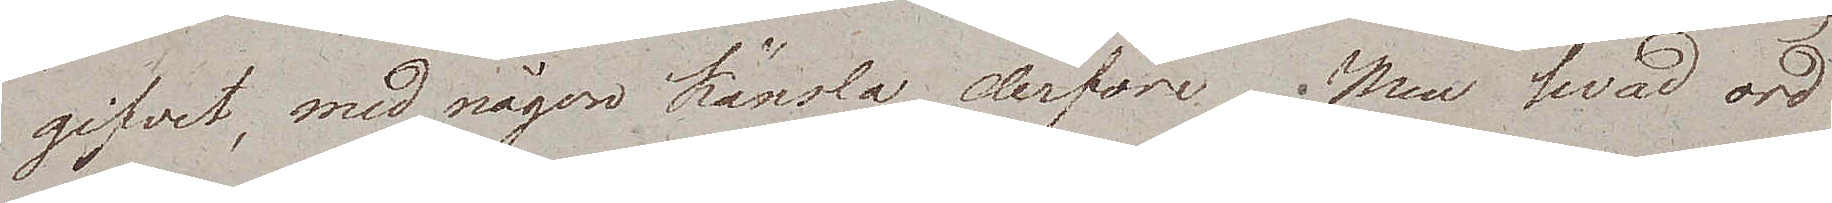gifvet, med någon känsla derföre. Men hvad ord
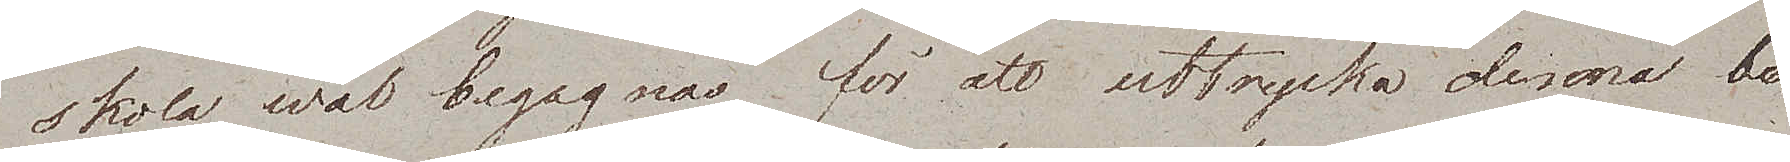skola wäl begagnas för att uttrycka denna be¬
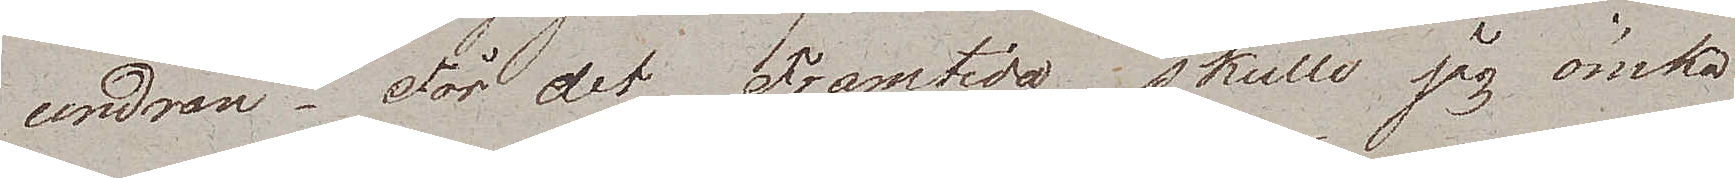undran. För det Framtida skulle jag önska
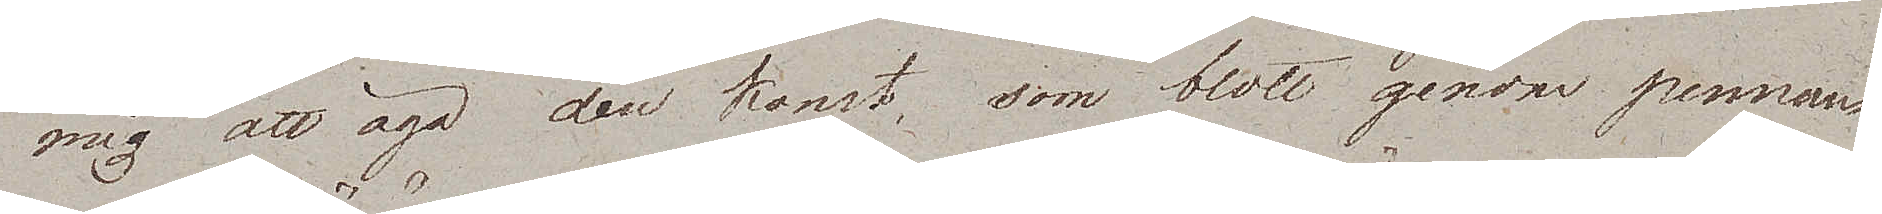mig att äga den konst, som blott genom pennans
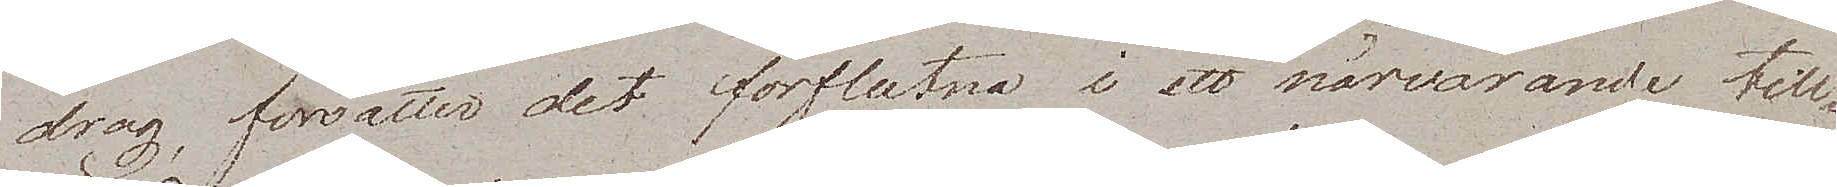drag, försätter det förflutna i ett närvarande till¬
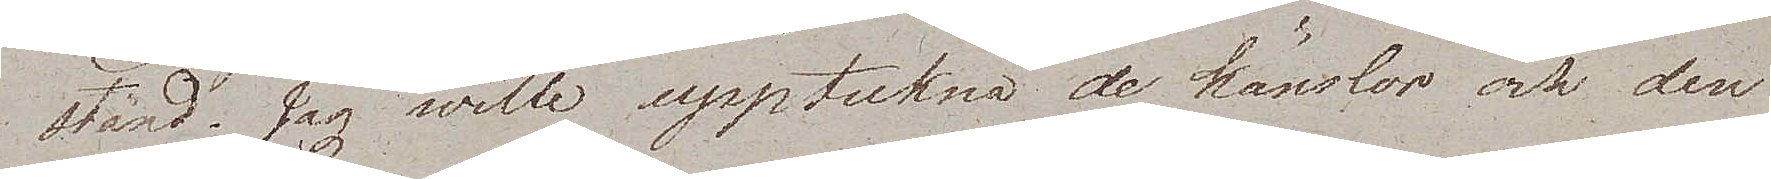stånd. Jag wille uppteckna de känslor och den
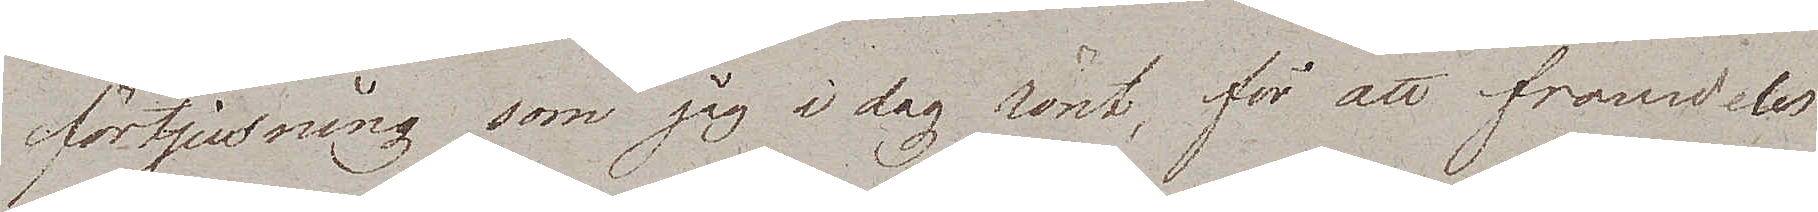förtjusning som jag i dag rönt, för att framdeles
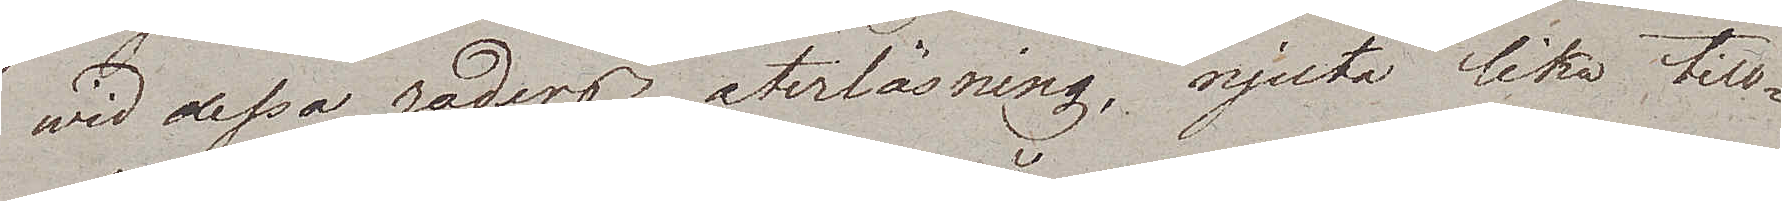wid dessa raders återläsning, njuta lika till¬
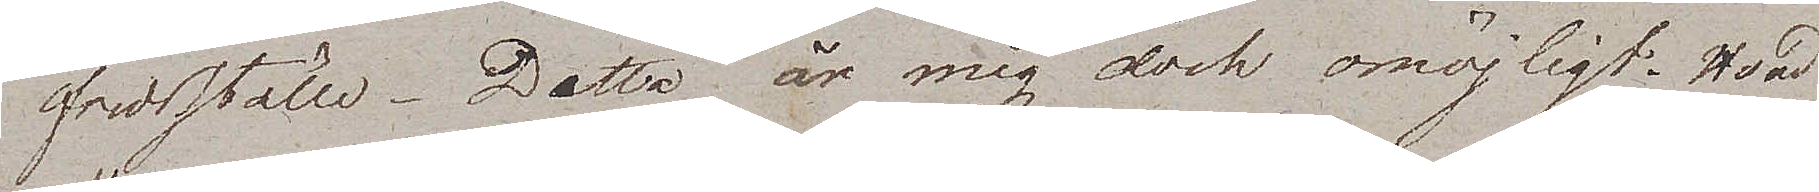fredsställe. Detta är mig dock omöjligt. Hvad
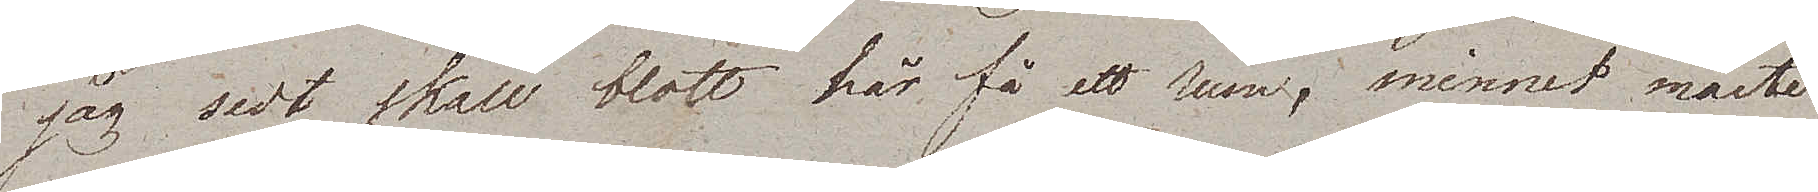jag sedt skall blott här få ett rum; minnet måste
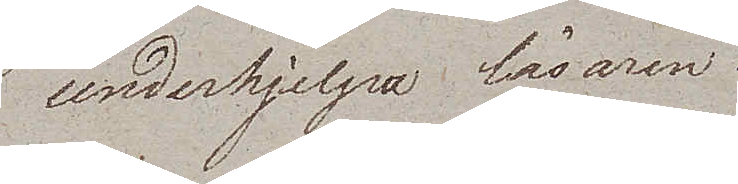underhjelpa läsaren.
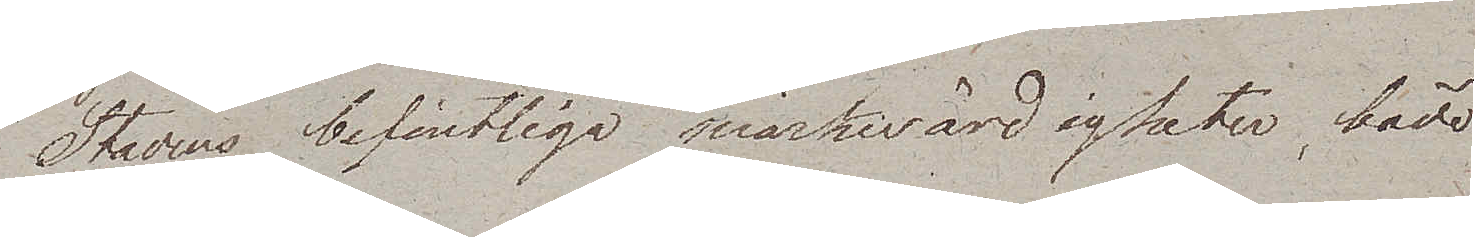Stadens befintliga märkwärdigheter, både
